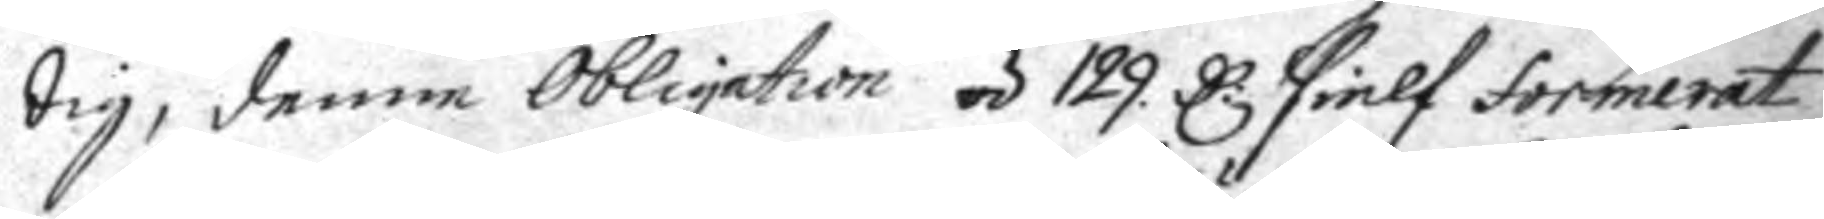dig, denne Obligation á 129 C: sielf formerat
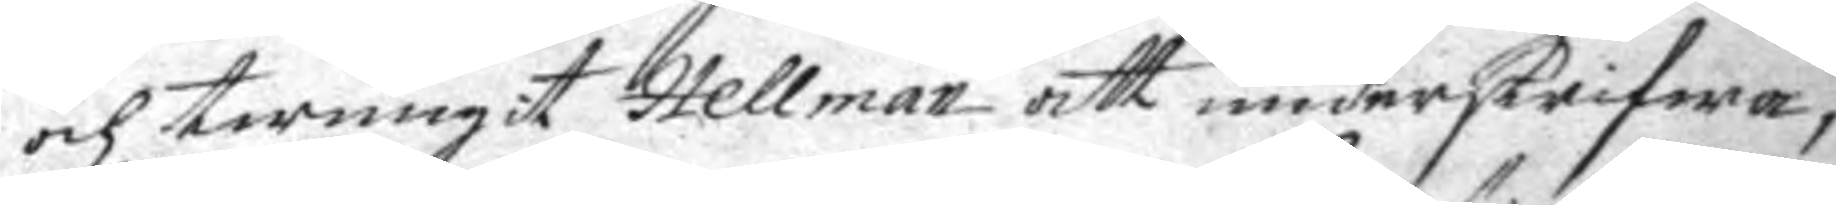och twungit Hellman att underskrifwa
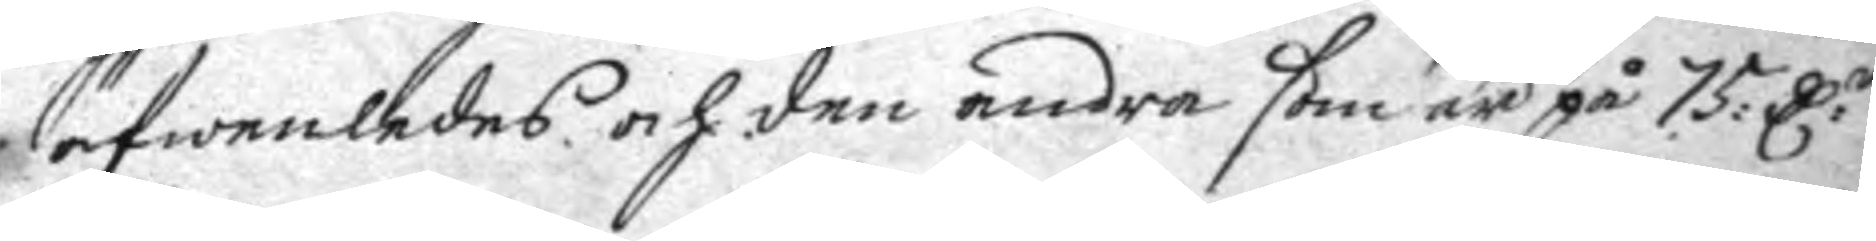äfwenledes och den andra som är på 75: C:r
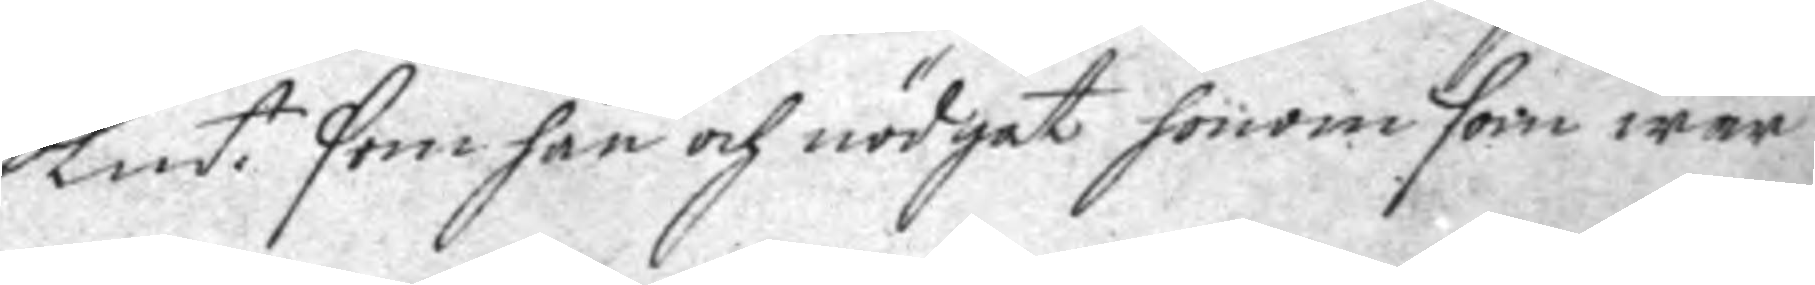Kmt. som han och nödgat honom som war
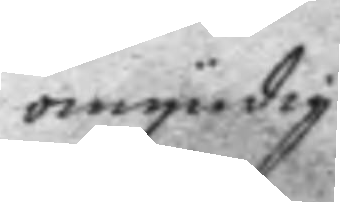omyndig
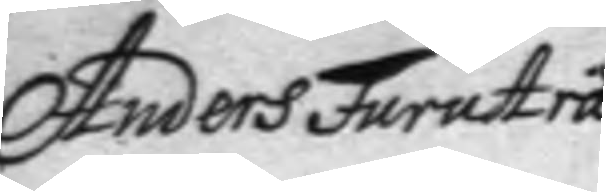Anders Furuträ
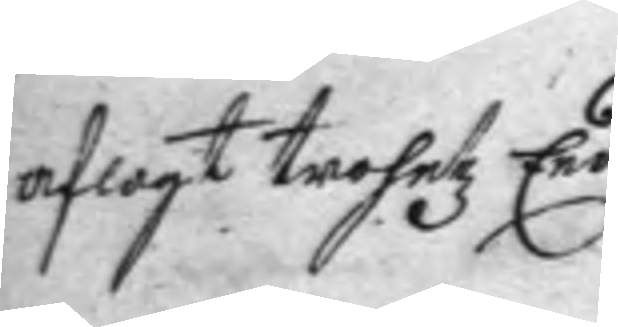aflagt trohetz Eed.
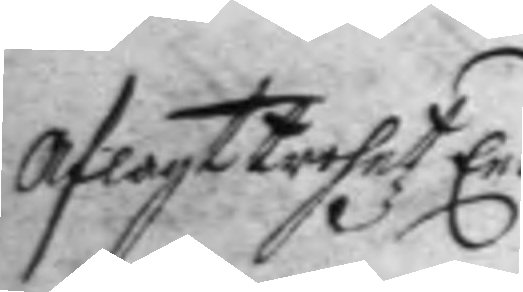Aflagt trohetz Eed.
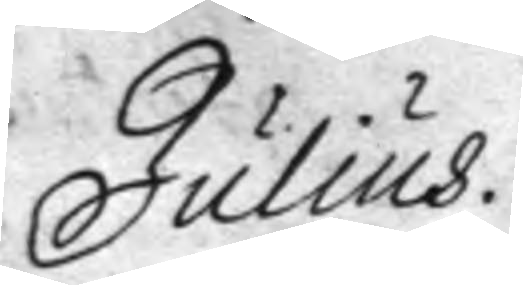Julius
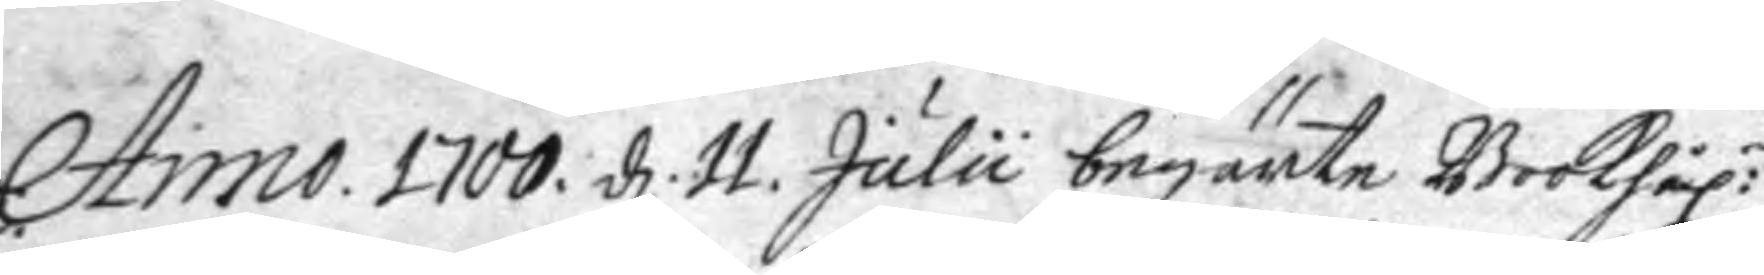Anno 1700. d. 11. July begärte Bookhål:n
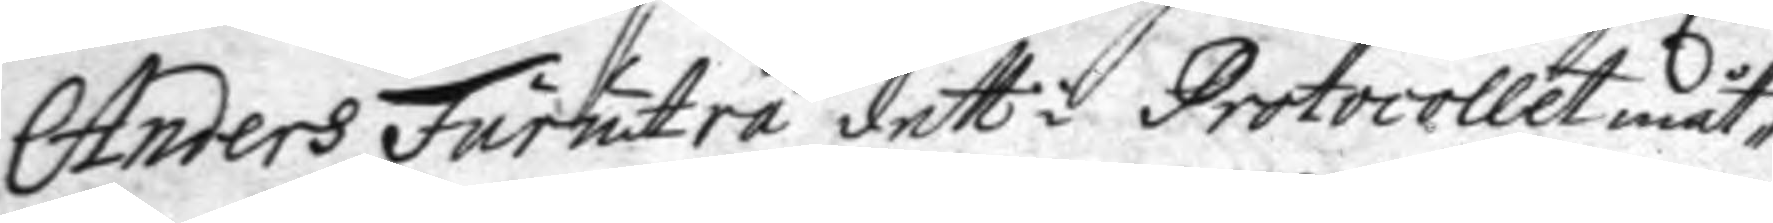Anders Furuträ dett i Protocollet måt¬
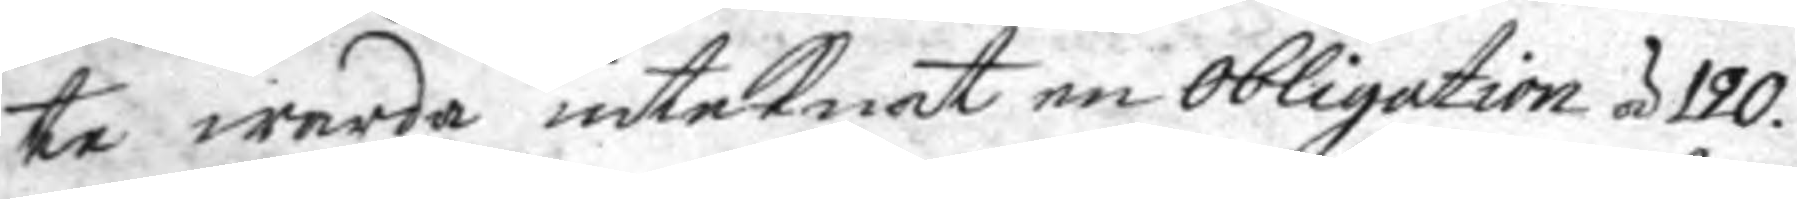te warda inteknat en obligatio á 120
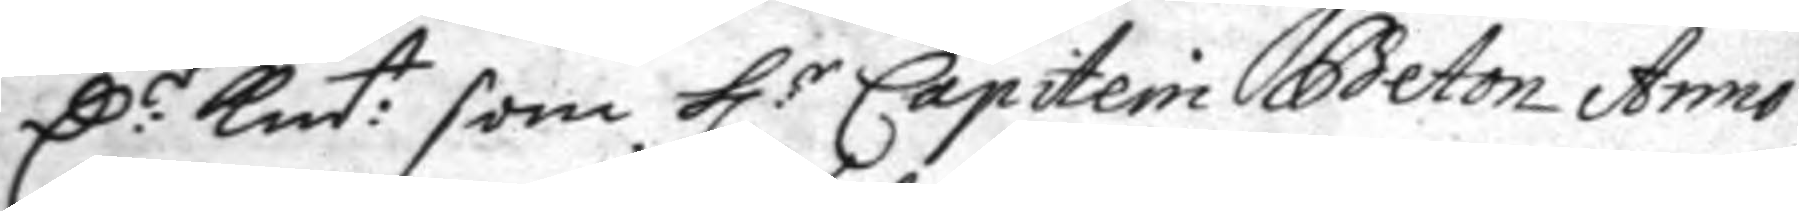C:r Kmt: som h:r Capitein Beton Anno
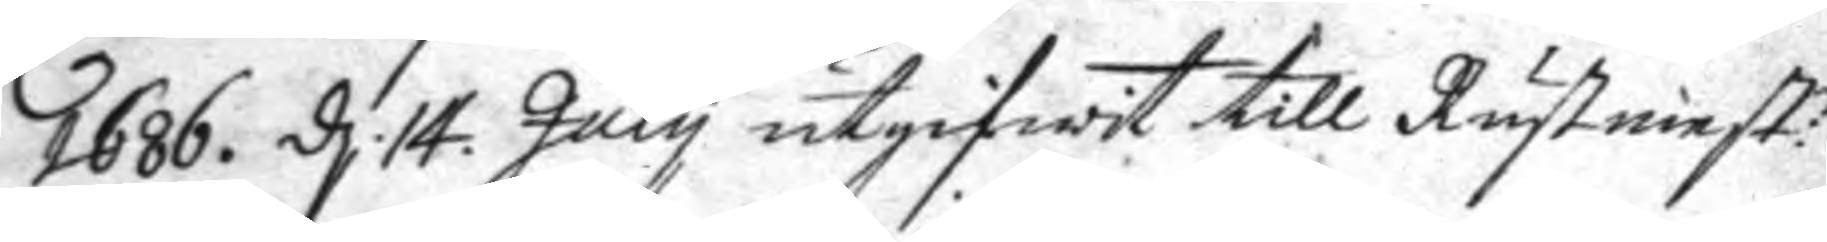1686. d. 14. July utgifwit till Rustmest:n
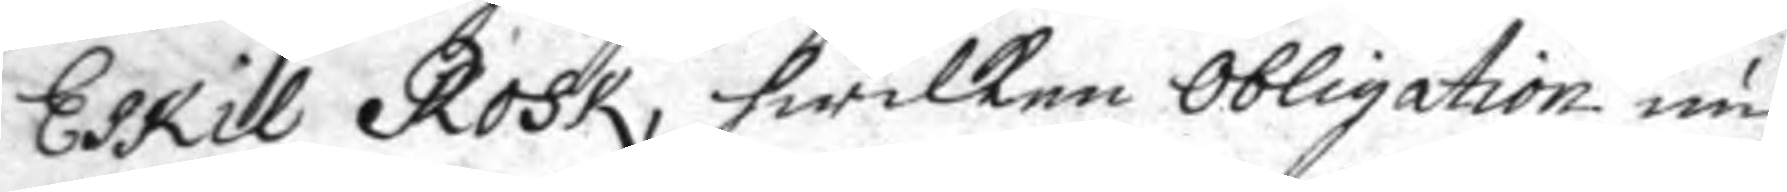Eskil Rosk, hwilken obligation nu
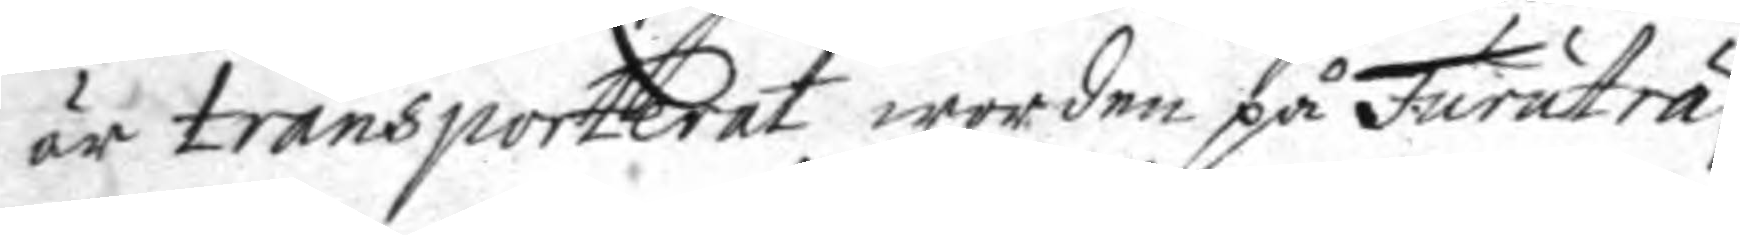är transporterat worden på Furuträ,
